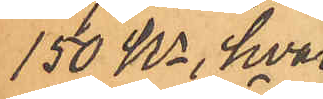150 Kr, hvar-
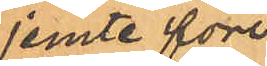jemte före¬
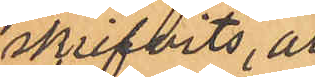skrifvits, att
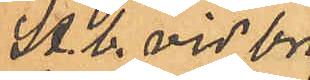St. b. vid bri¬
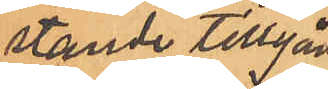stande tillgång
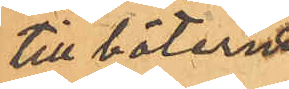till böterna
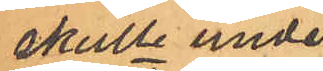skulle under¬
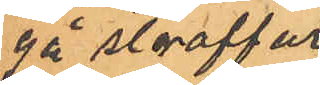gå straffar¬
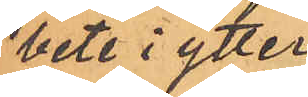bete i ytter¬
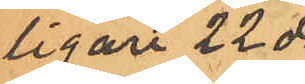ligare 22 da¬
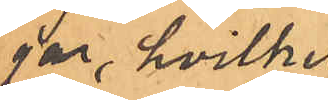gar, hvilket
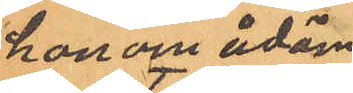honom ådöm¬
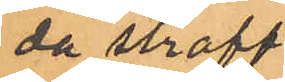da straff¬
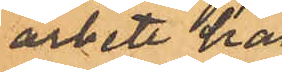arbete han
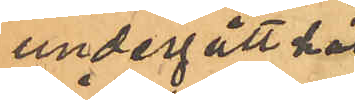undergått hås
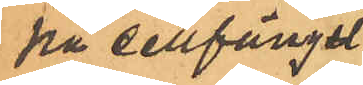på cellfängel¬
